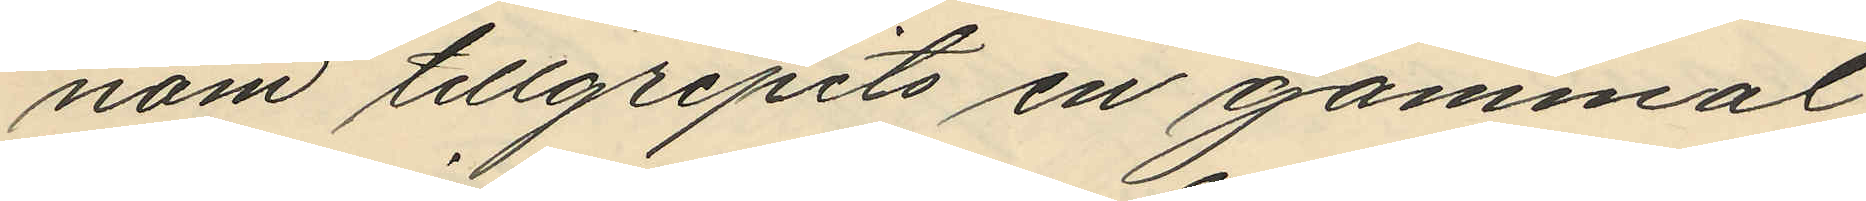nom tillgripits en gammal
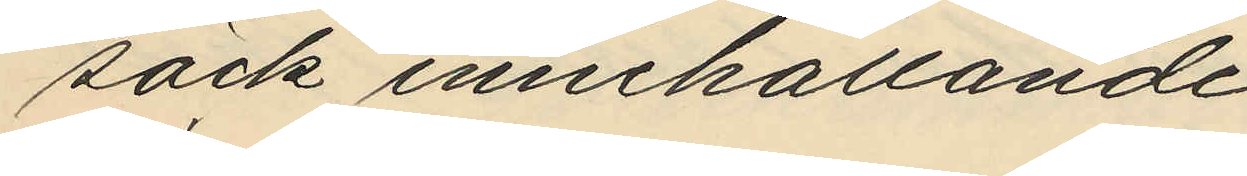säck innehållande
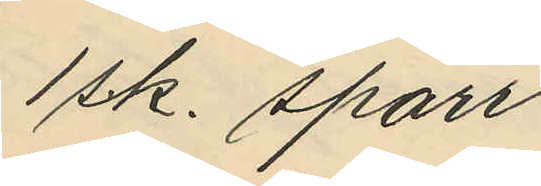1 s.k. sparr
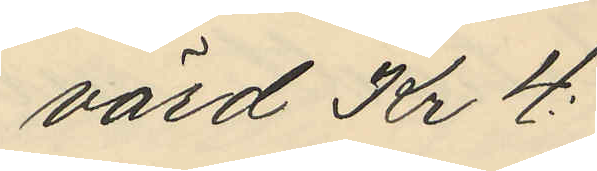värd Kr 4:
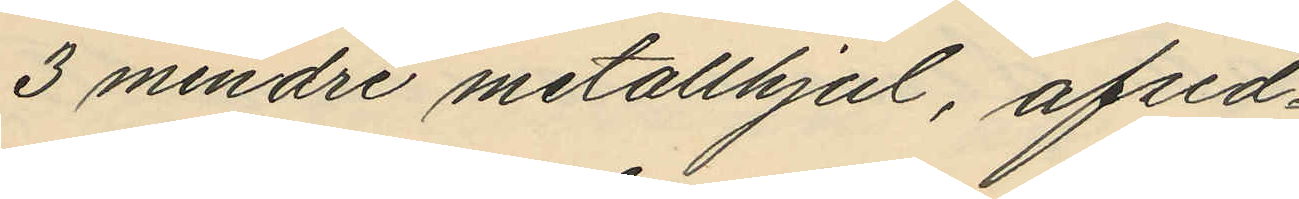3 mindre metallhjul, afsed¬
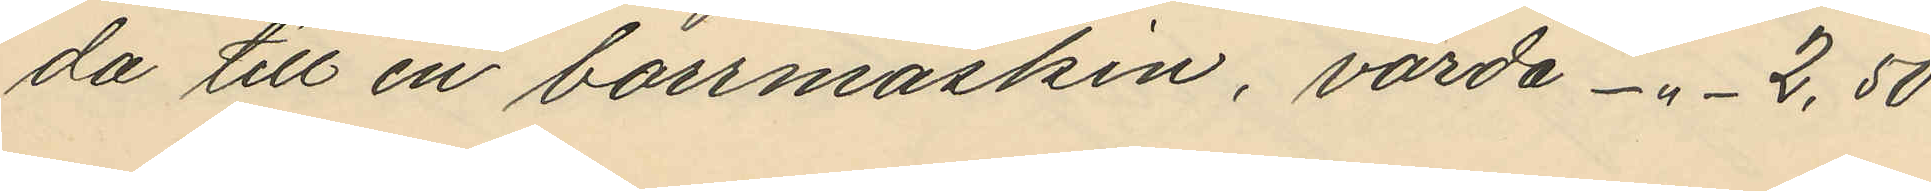da till en borrmaskin, värda -"- 2,50
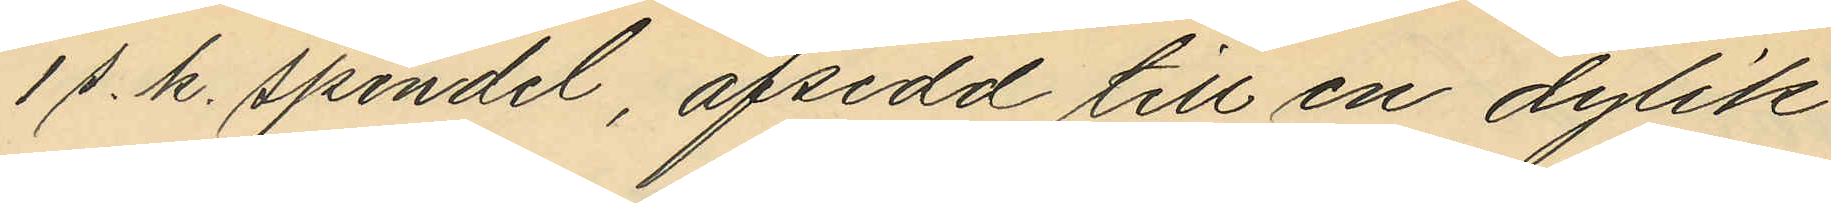1 s. k. spindel, afsedd till en dylik
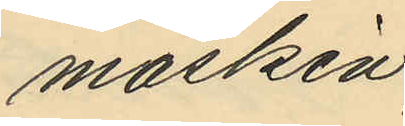maskin,
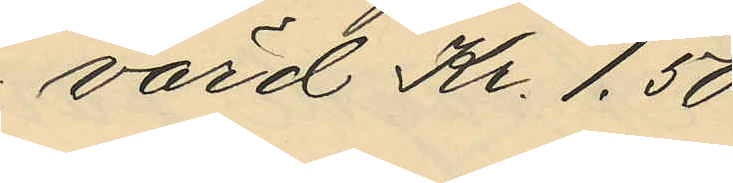värd Kr. 1,50
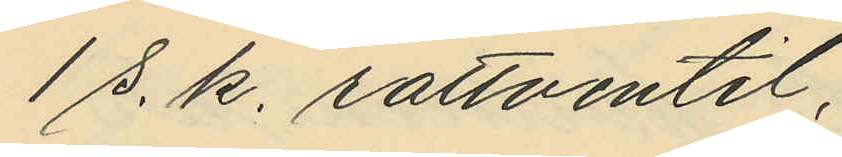1 s. k. rattventil,
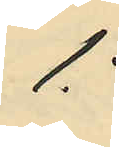1:
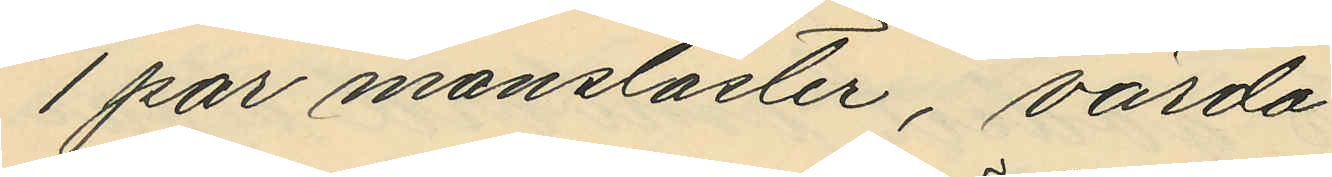1 par mansläster, värda
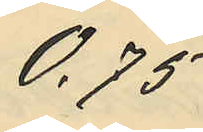0,75
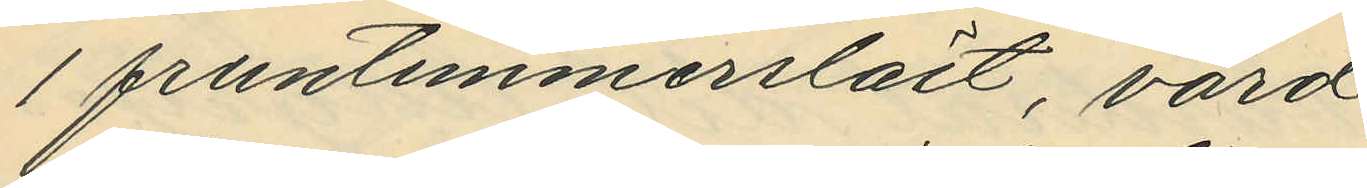1 fruntimmersläst, värd
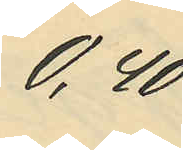0,40
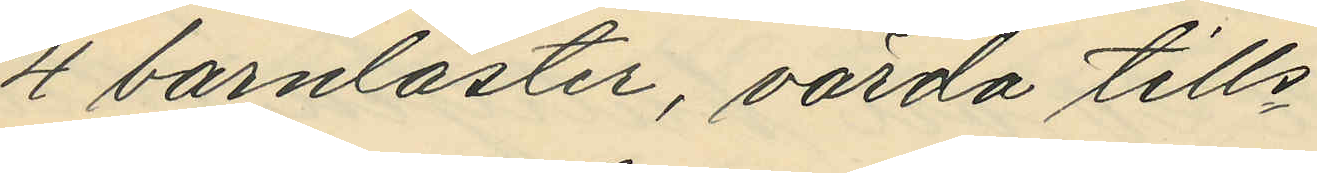4 barnläster, värda tills
